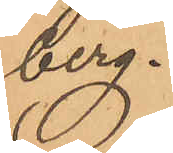berg.
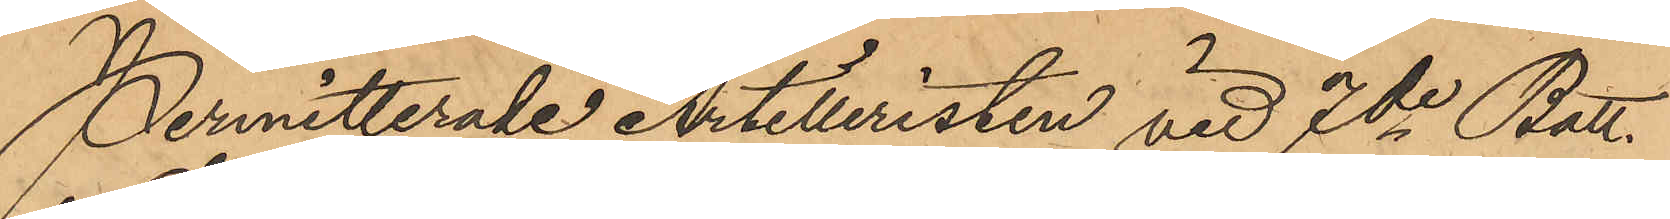Permitterade Artilleristen vid 7de Batt.
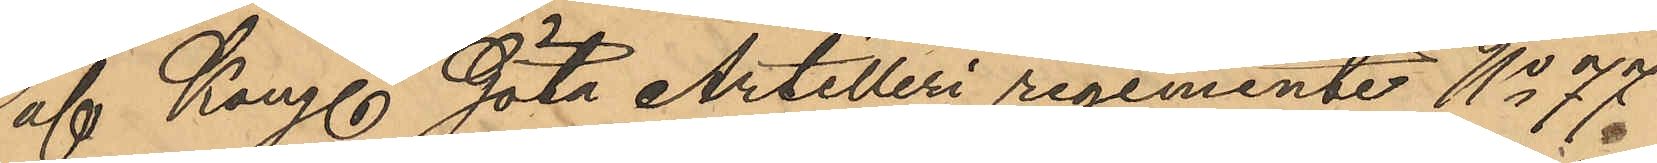af Kongl. Göta Artilleri regemente No 77
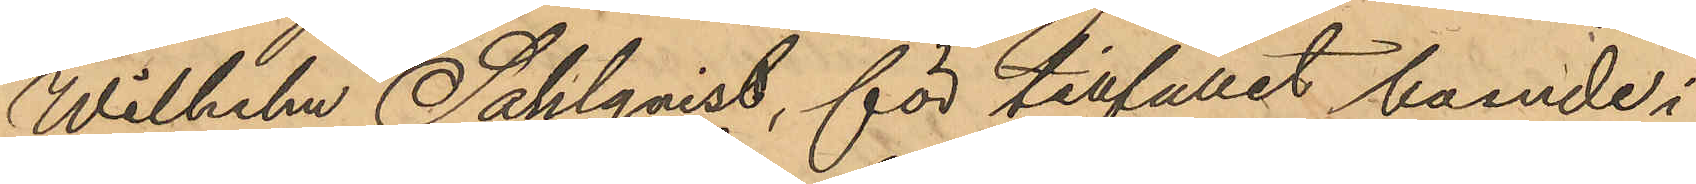Wilhelm Sahlqvist, för tillfället boende i
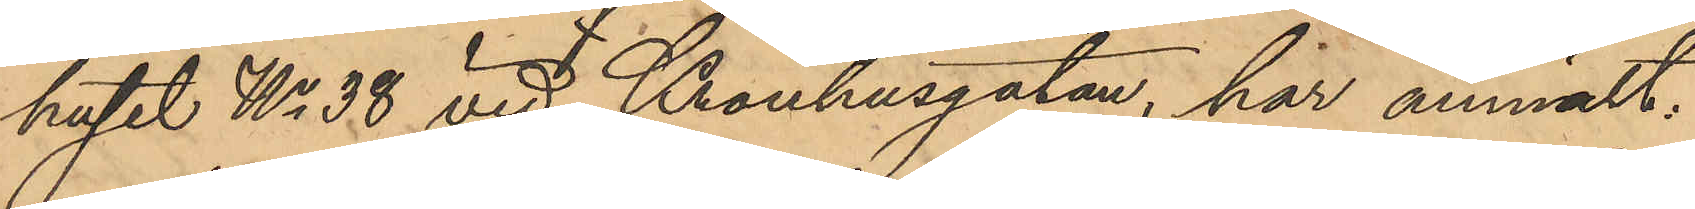huset No 38 vid Kronhusgatan, har anmält:
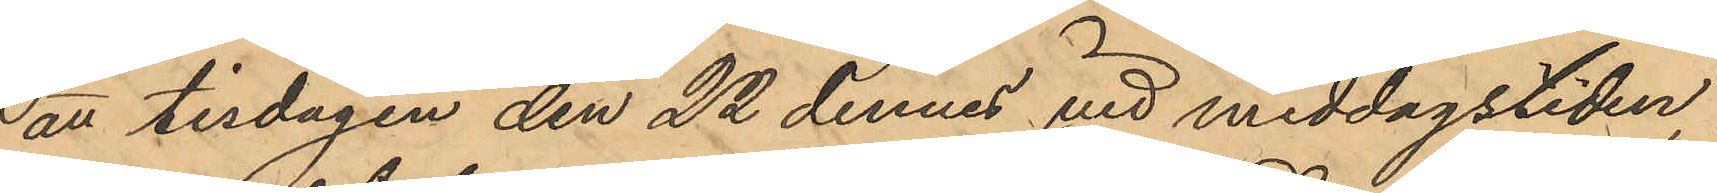att tisdagen den 22 dennes vid middagstiden
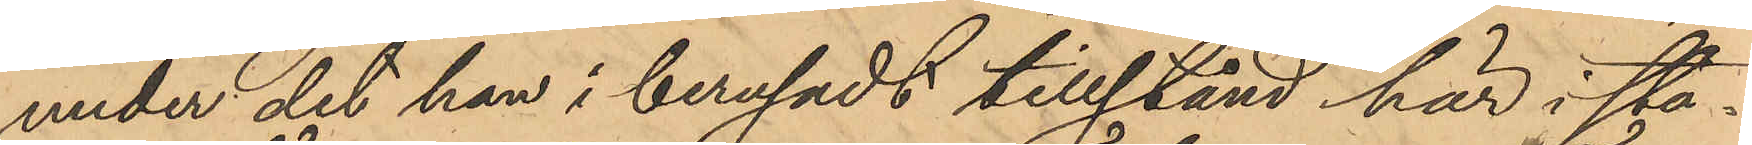under det han i berusadt tillstånd här i sta¬
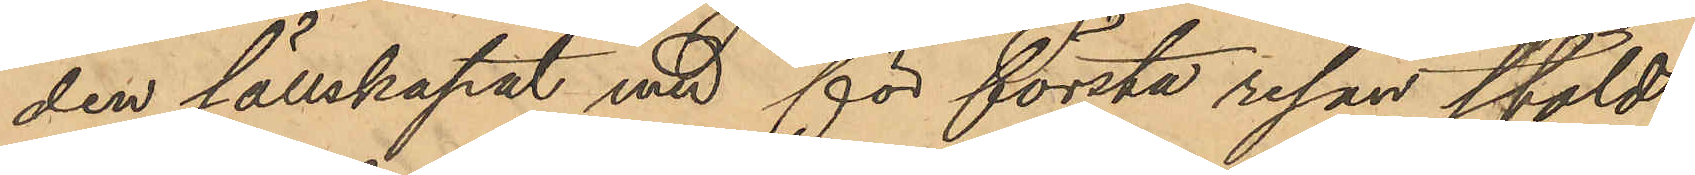den sällskapat med för första resan stöld
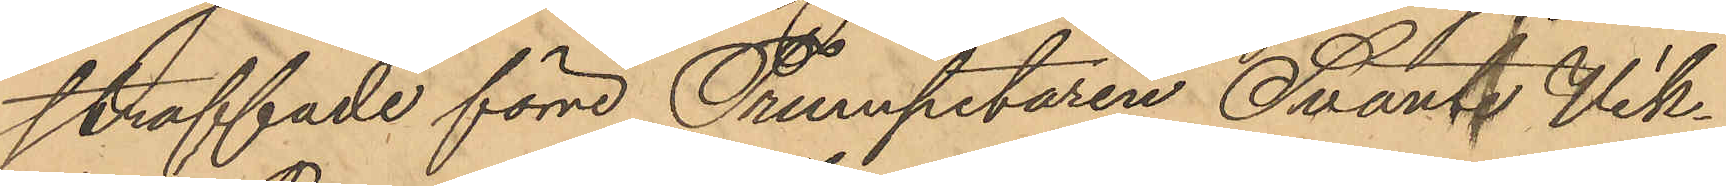straffade förre Trumpetaren Svante Vik¬
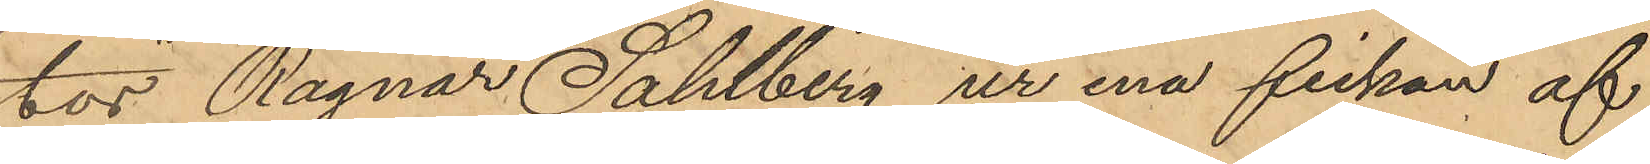tor Ragnar Sahlberg ur ena fickan af
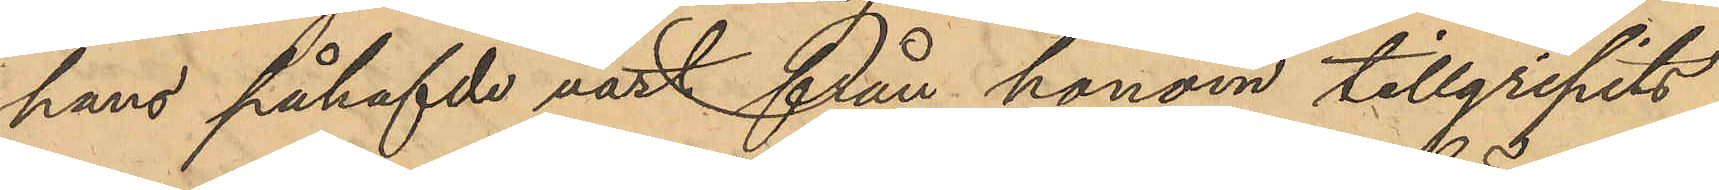hans påhafvde väst från honom tillgripits
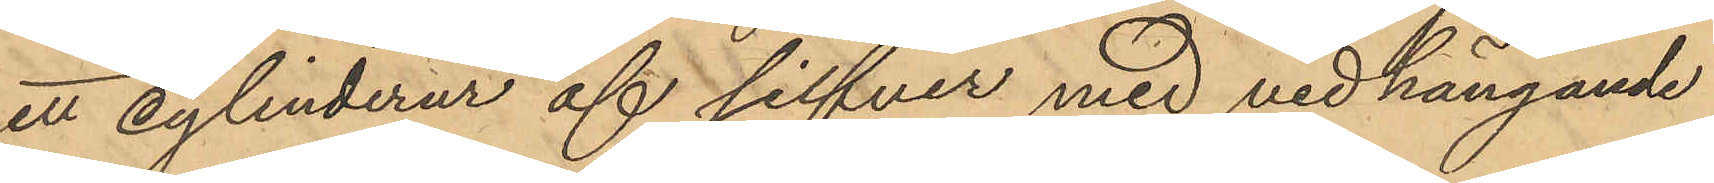ett cylinderur af silfver med vidhängande
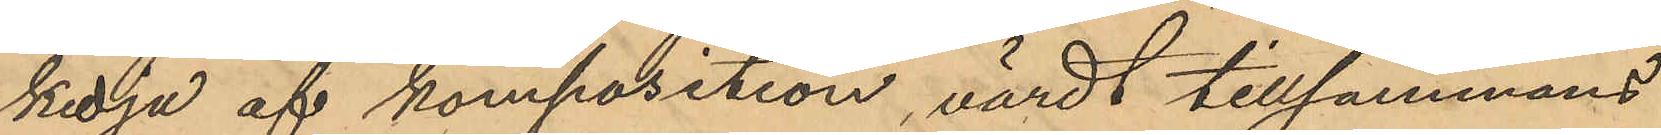kedja af komposition, värdt tillsammans
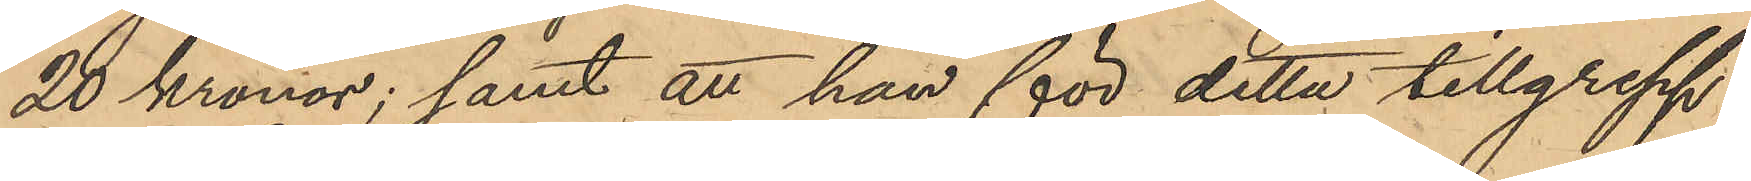20 Kronor; samt att han för detta tillgrepp
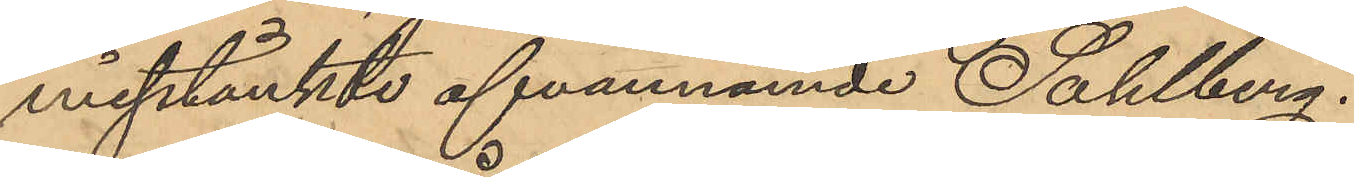misstänkte ofvannämde Sahlberg.
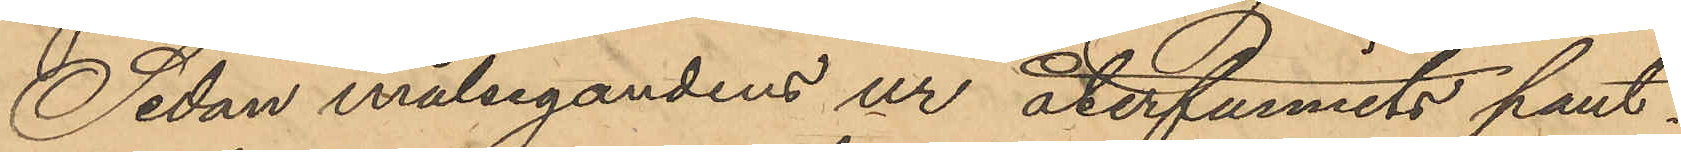Sedan målsegandens ur återfunnits pant¬
